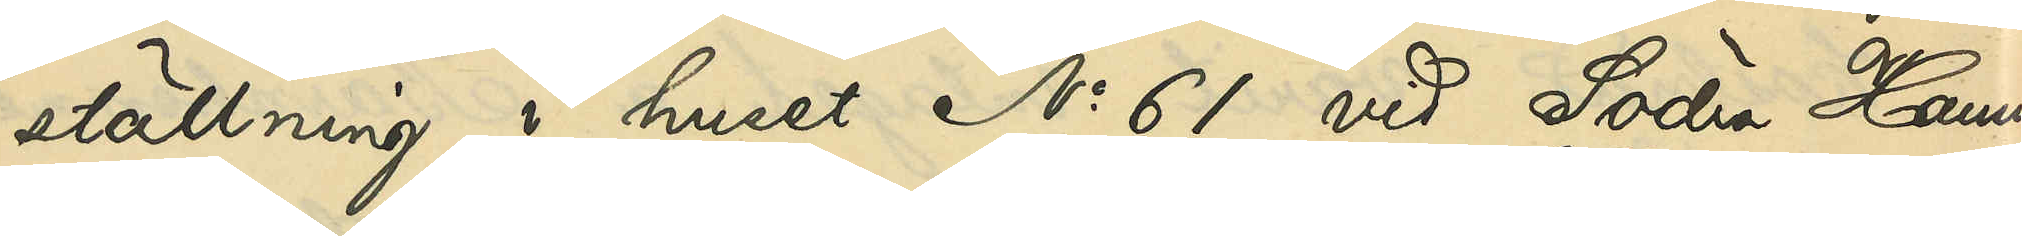ställning i huset No 61 vid Södra Hamn¬
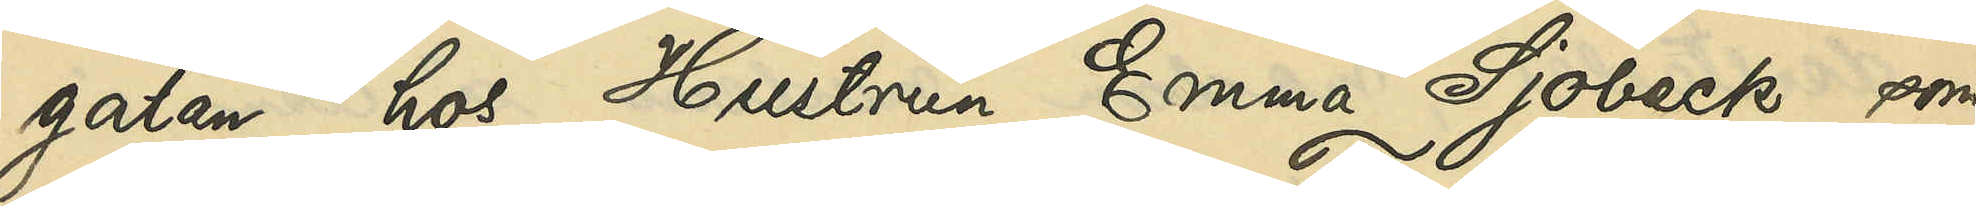gatan hos Hustrun Emma Sjöbeck, som
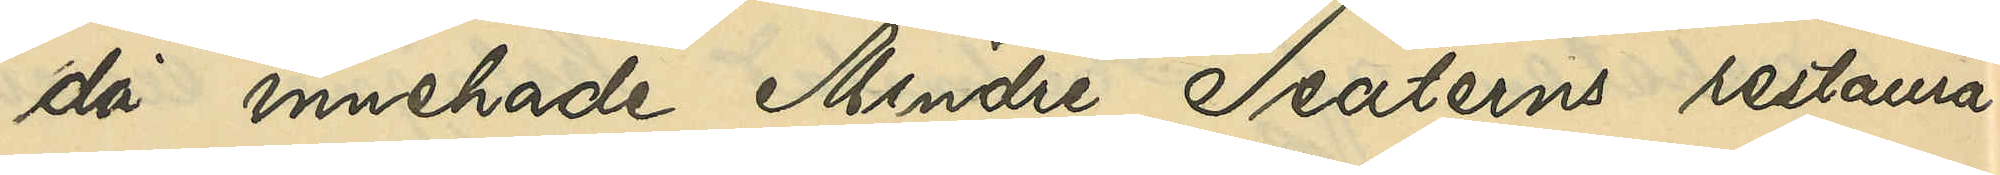då innehade Mindre Teaterns restaura¬
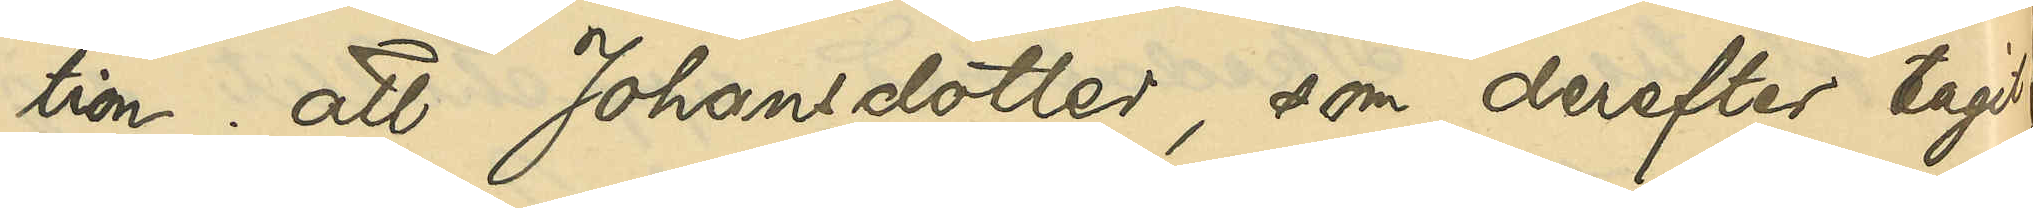tion; att Johansdotter, som derefter tagit
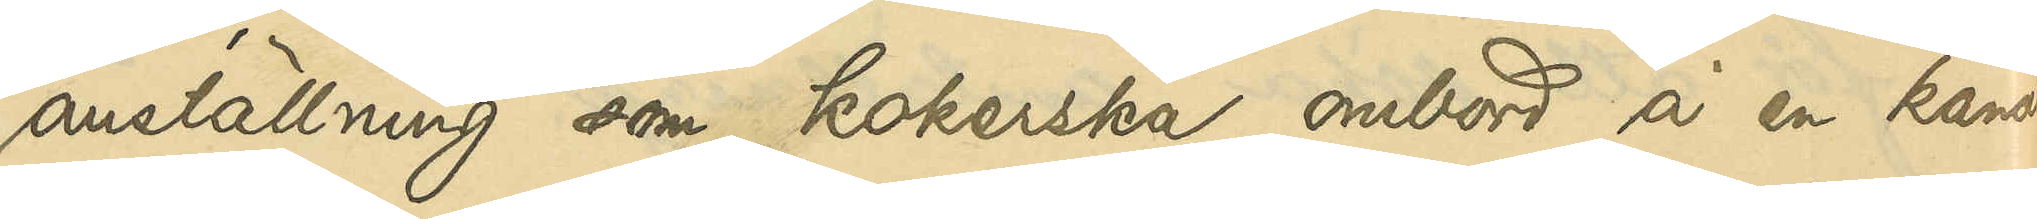anställning som kokerska ombord å en kanal¬
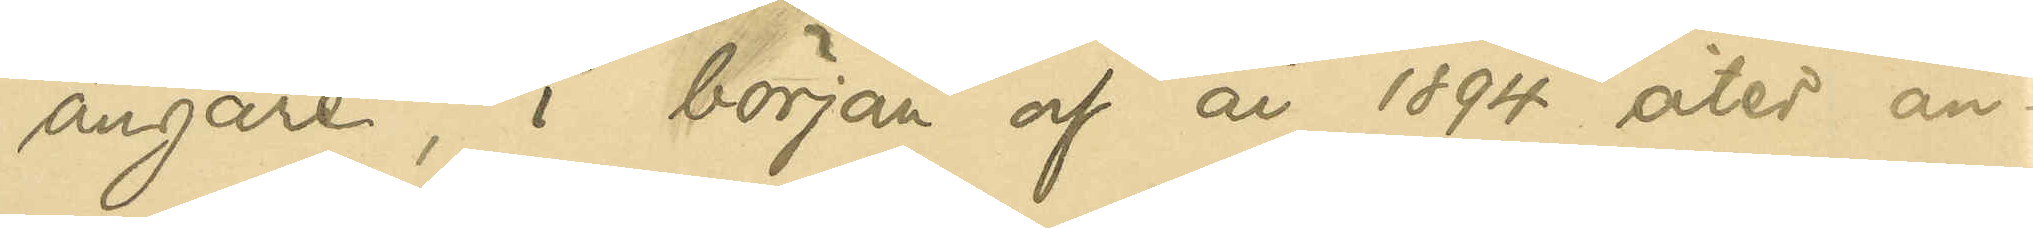ångare, i början af år 1894 åter an¬
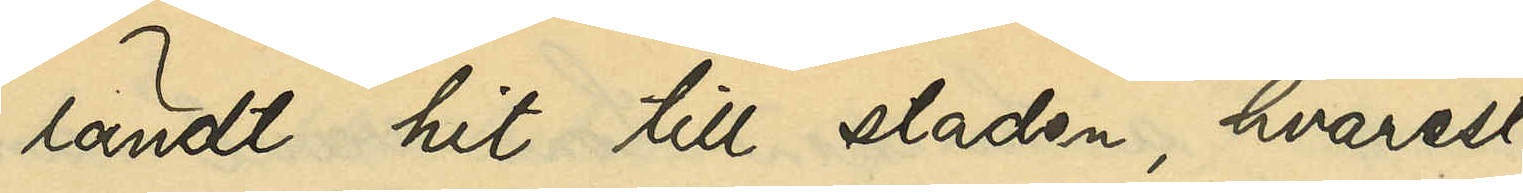ländt hit till staden, hvarest
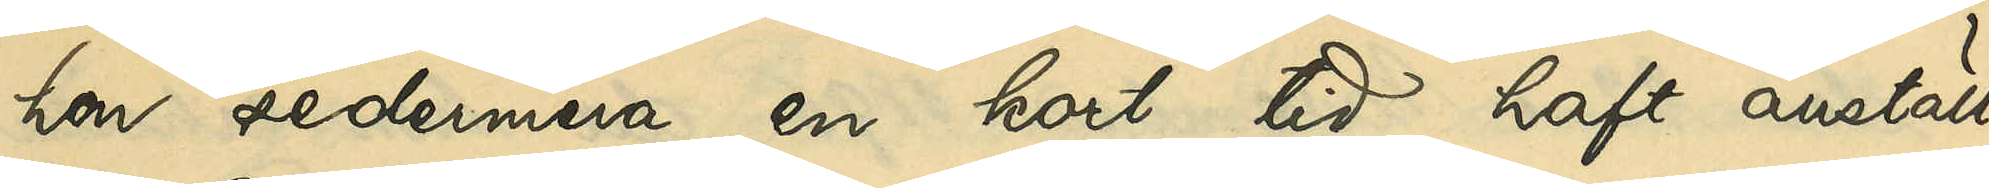hon sedermera en kort tid haft anställ¬
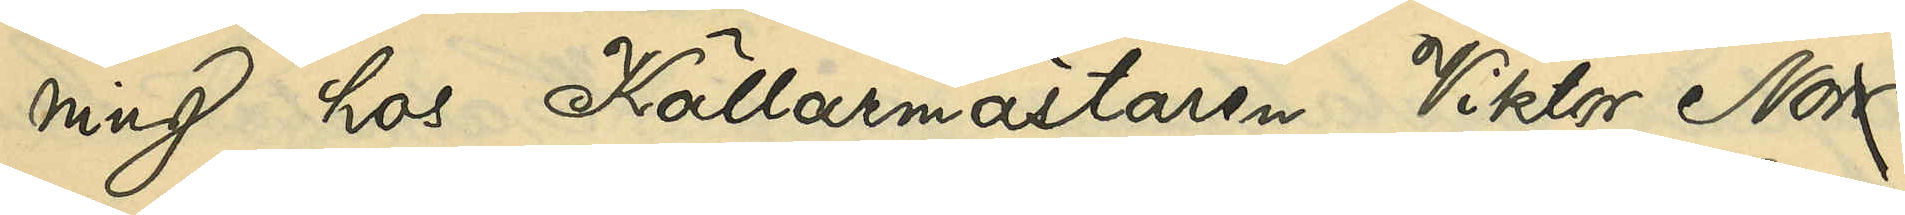ning hos Källarmästaren Viktor Norr¬
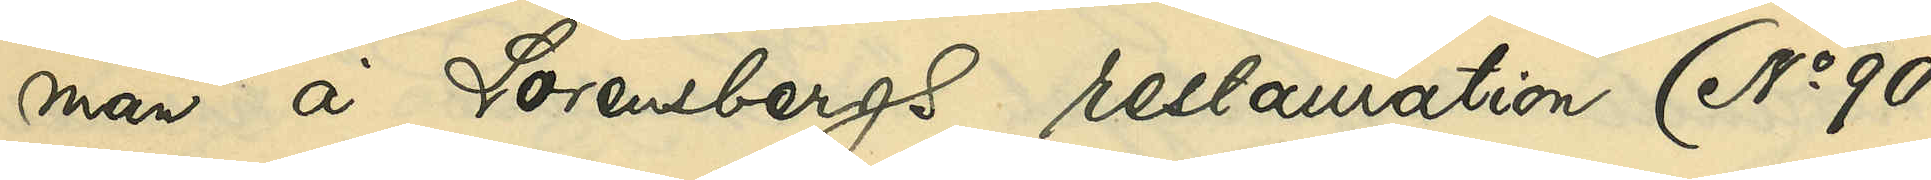man å Lorensbergs restauration (No 90
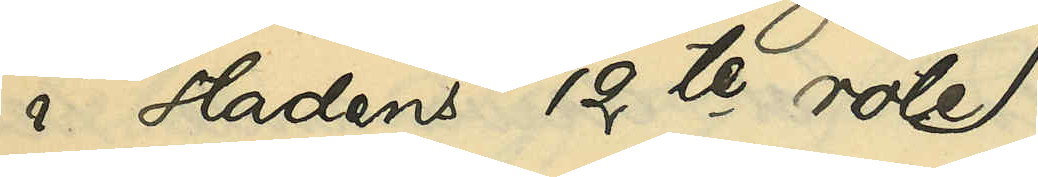i staden 12te rote)
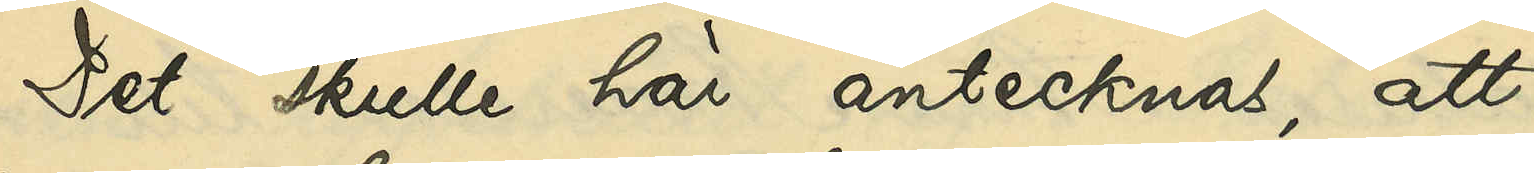Det skulle här antecknas, att
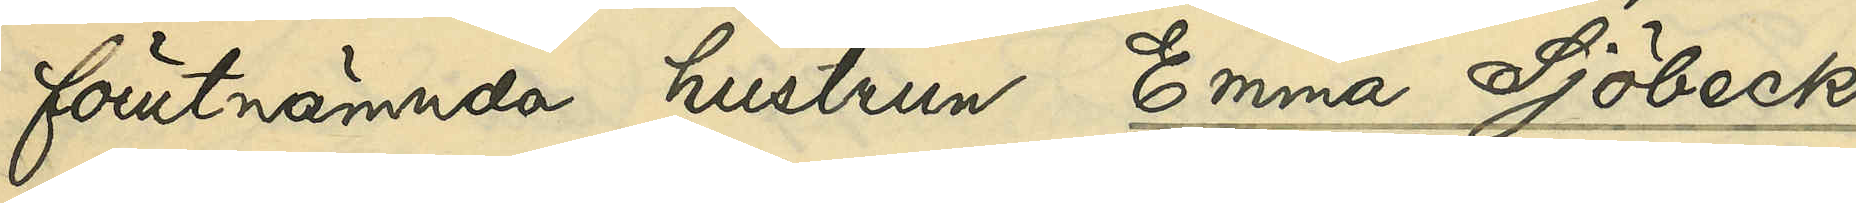förutnämnda hustrun Emma Sjöbeck,
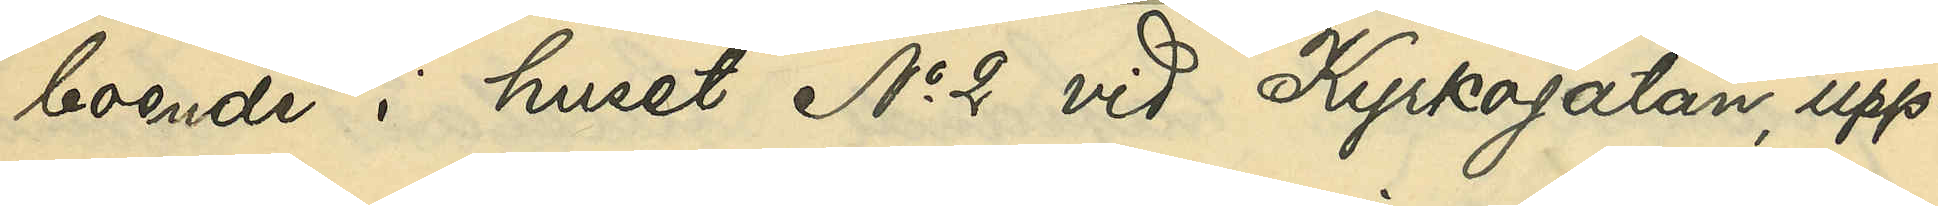boende i huset No 2 vid Kyrkogatan, upp¬
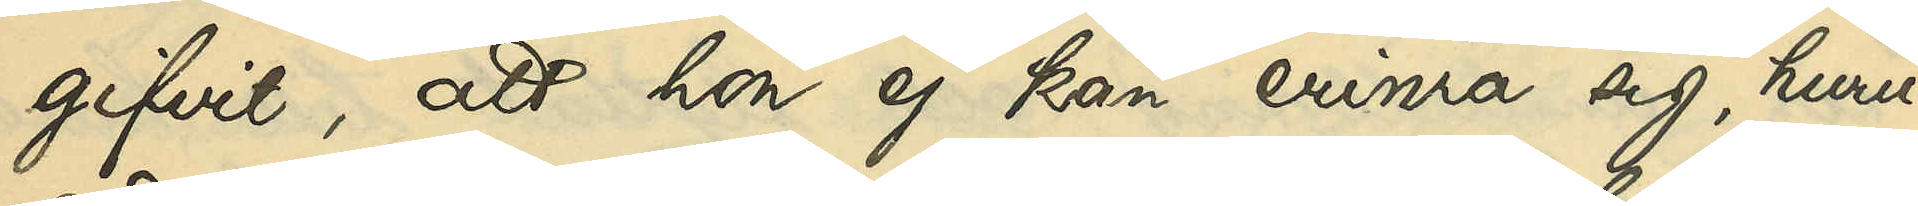gifvit, att hon ej kan erinra sig, huru¬
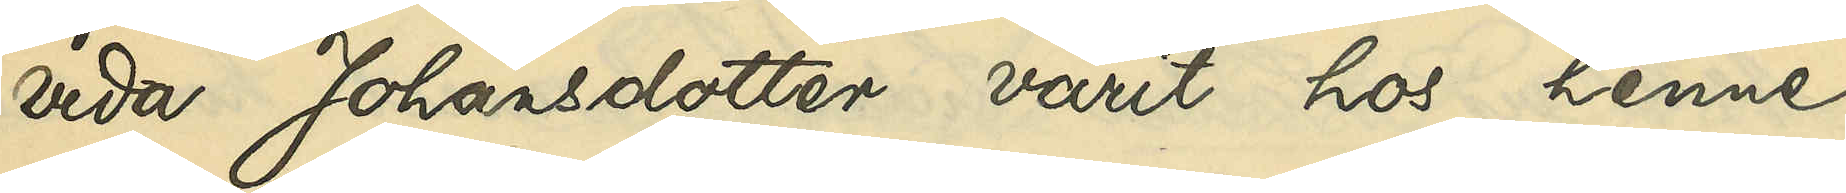vida Johansdotter varit hos henne
